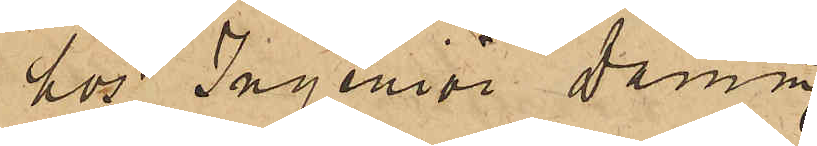hos Ingeniör Damm,
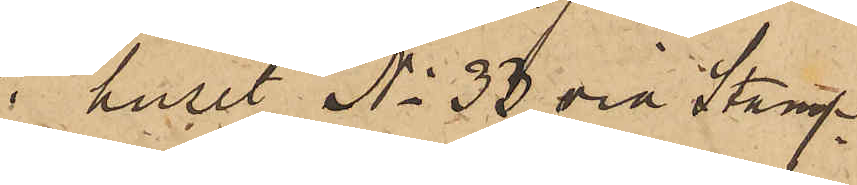i huset No 33 vid Stamp¬
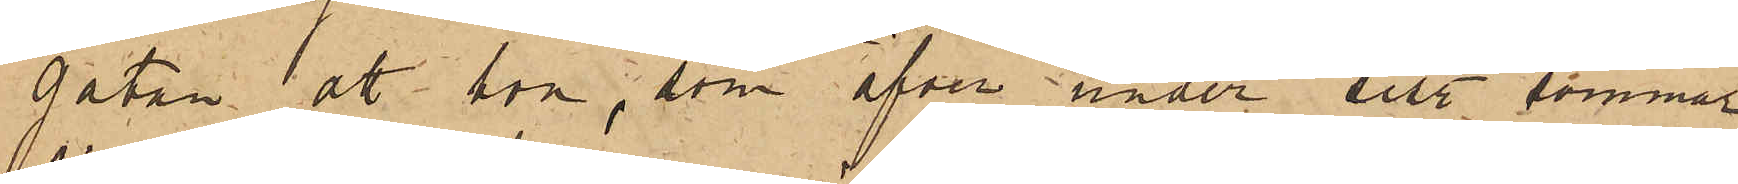gatan att hon, som äfven under sist. sommar
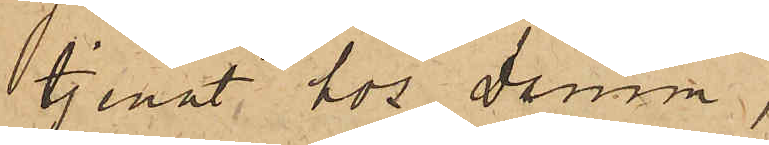tjenat hos Damm,
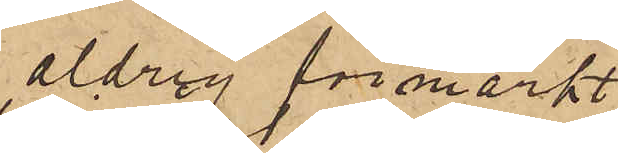aldrig förmärkt
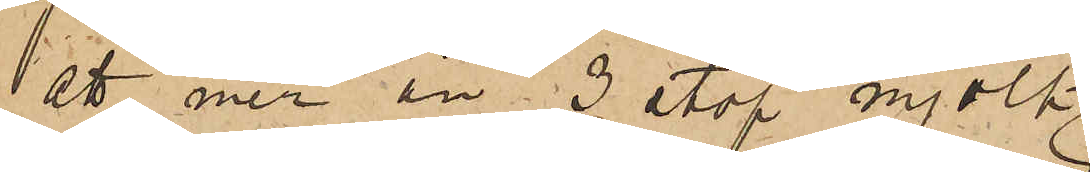att mer än 3 stop mjölk
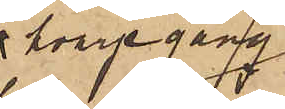hvarje gång
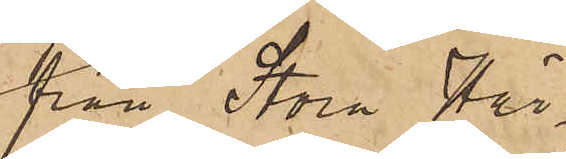från Stora Här¬
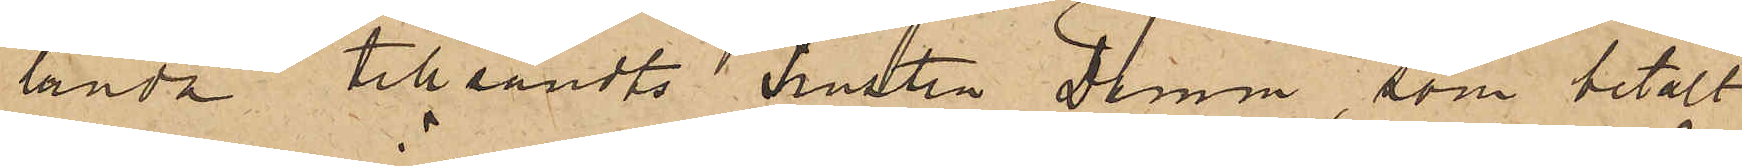landa tillsändts hustru Damm, som betalt
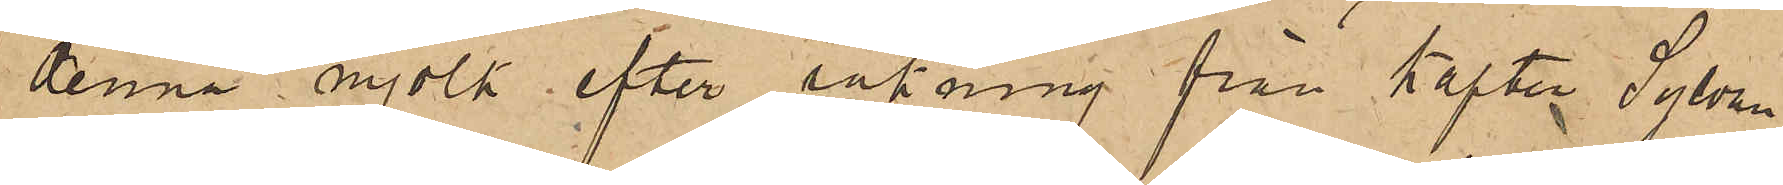denna mjölk efter räkning från Kapten Sylvan.
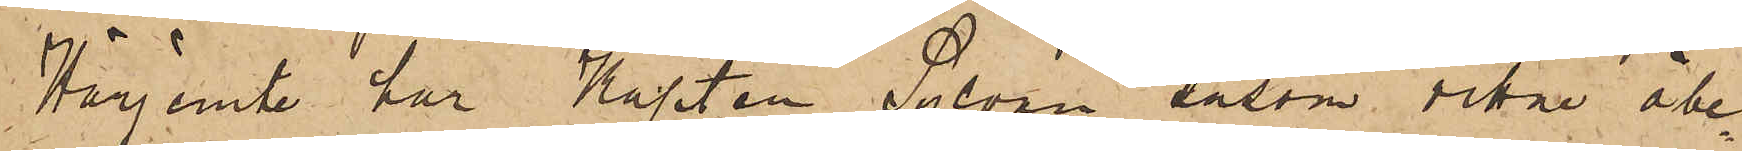Härjemte har Kapten Sylvan såsom vittne åbe¬
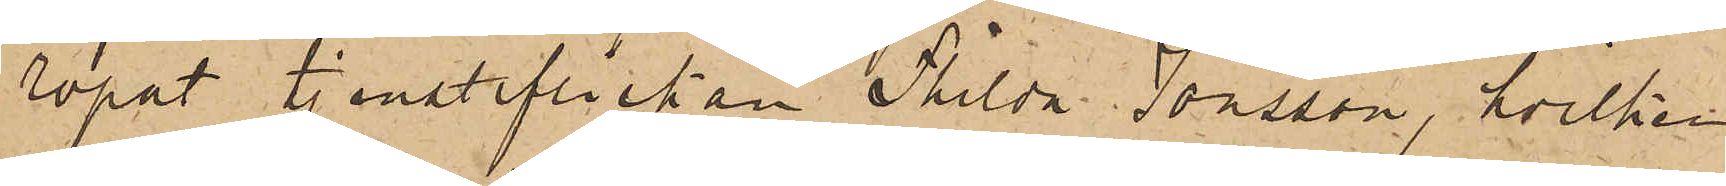ropat tjensteflickan Thilda Jönsson, hvilken
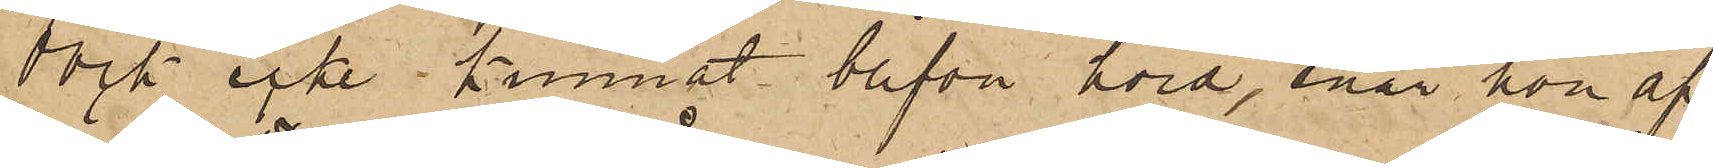dock icke kunnat blifva hörd, enär hon af¬
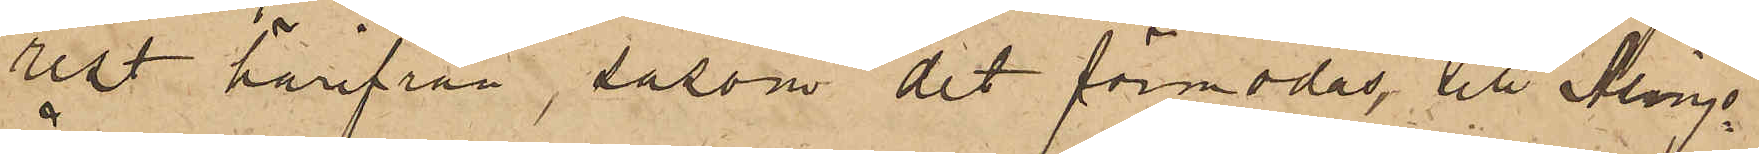ust härifrån, såsom det förmodas, till Alings¬
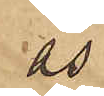ås.
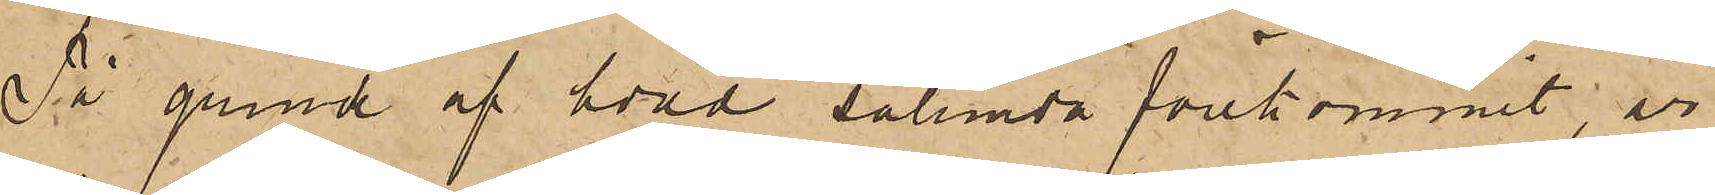På grund af hvad sålunda förekommit, är
